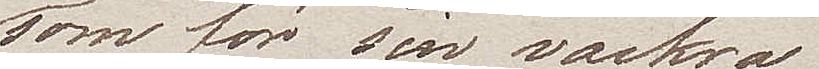som för sin vackra
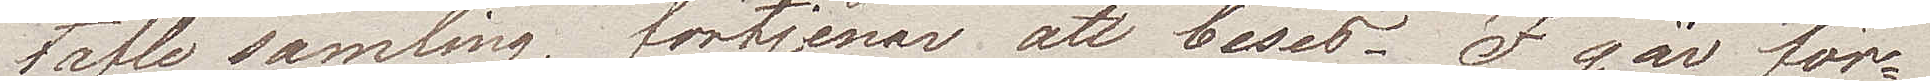taflesamling, förtjenar att beses. I går för¬
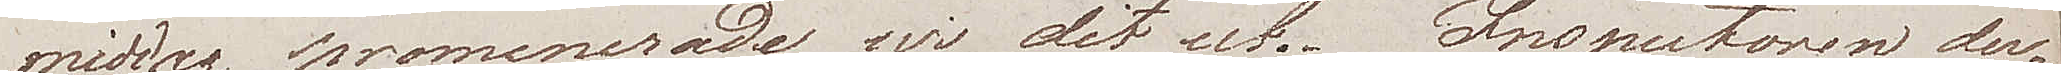middag promenerade wi dit ut. Inspectoren der¬
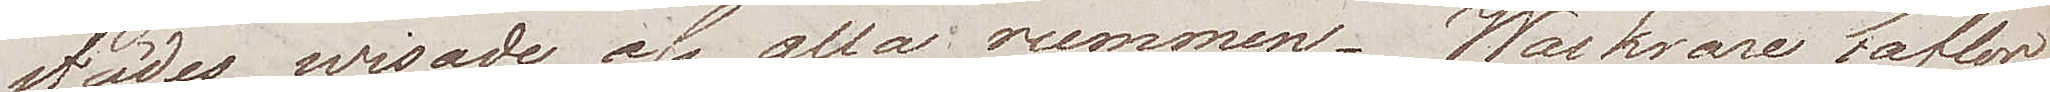städes wisade oss alla rummen. Wackrare taflor
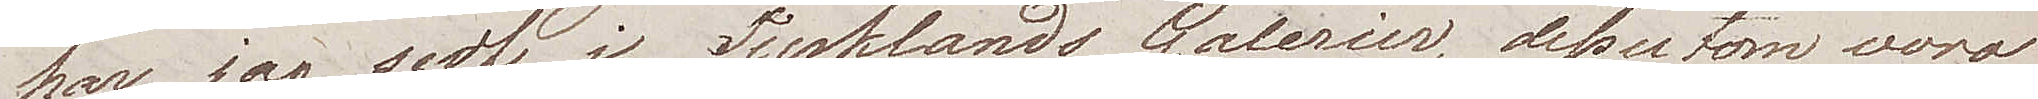har jag sedt i Tysklands Galerier, dessutom voro
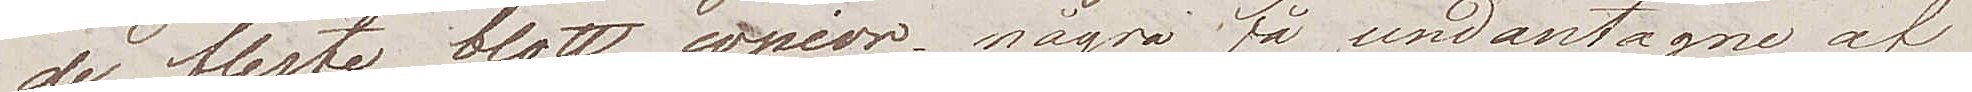de flesta blott copior, några få undantagne af
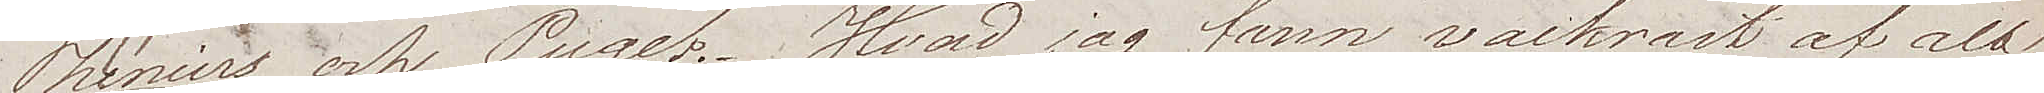Theniers och Puget. Hvad jag fann wackrast af alt
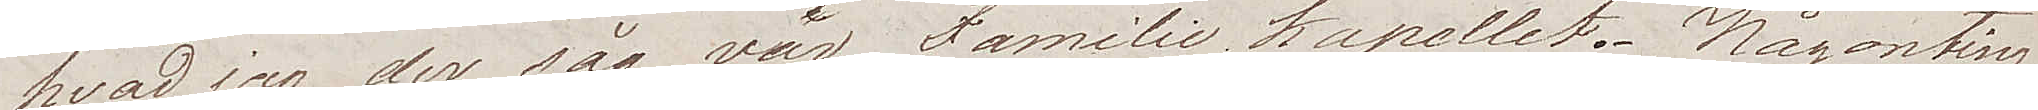hvad jag der såg, var Familie Kapellet. Någonting
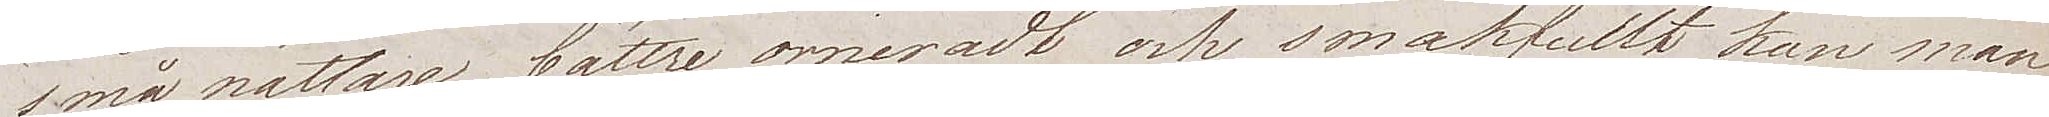smånättare, bättre orneradt och smakfullt kan man
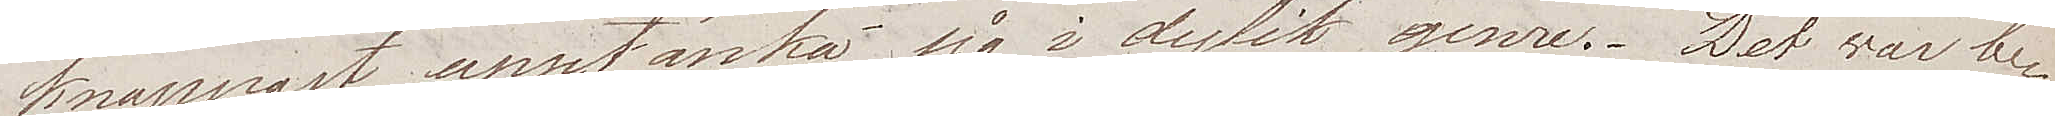knappast upptänka sig i dylik genre. Det war be¬
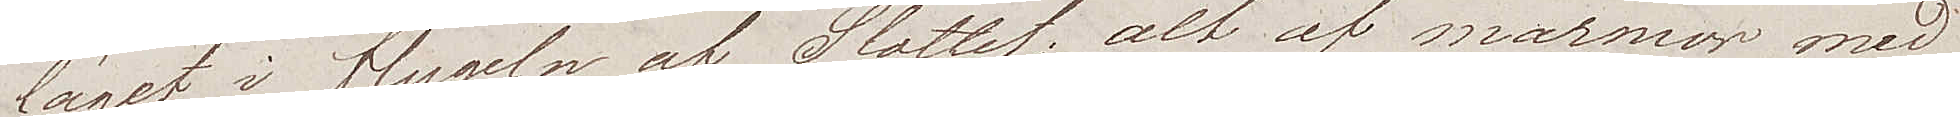läget i flygeln af Slottet, alt af marmor med
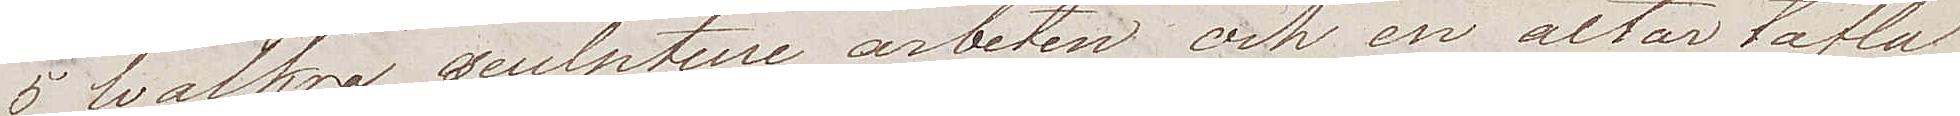5 wackra sculpture arbeten och en altartafla
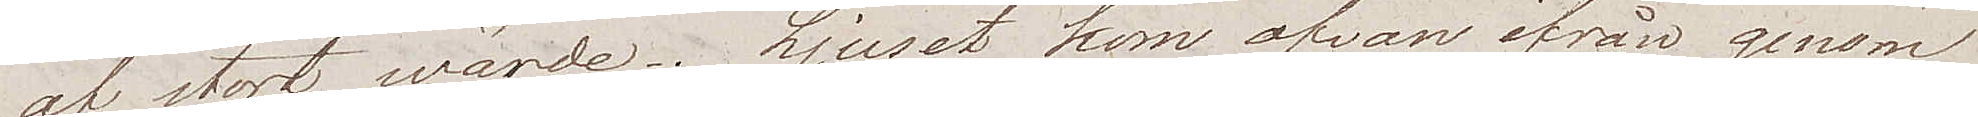af stort wärde. Ljuset kom ofvan ifrån genom
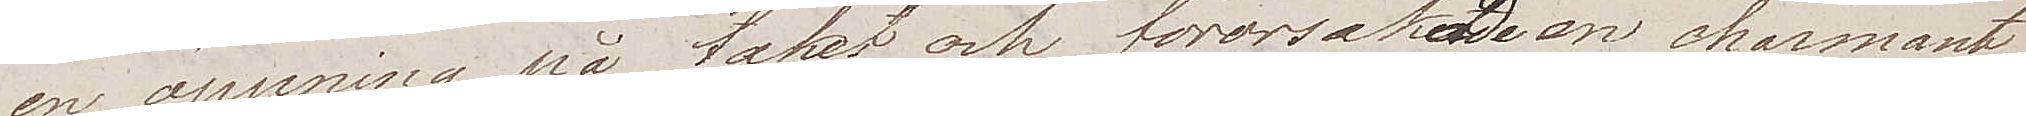en öppning på taket och förorsakade en charmant
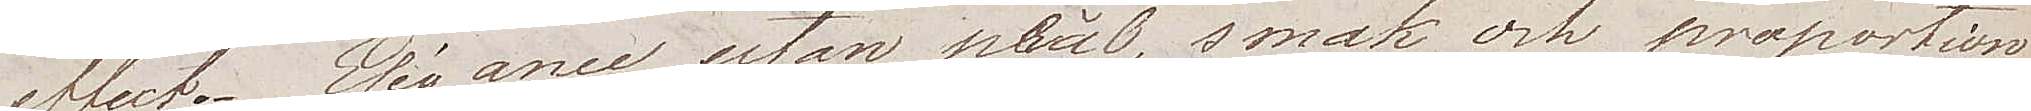effect. Elégance utan prål, smak och proportion
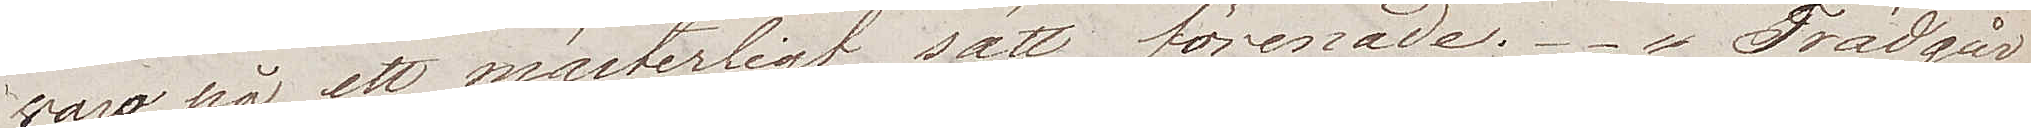woro på ett mästerligt sätt förenade. Trädgår¬
